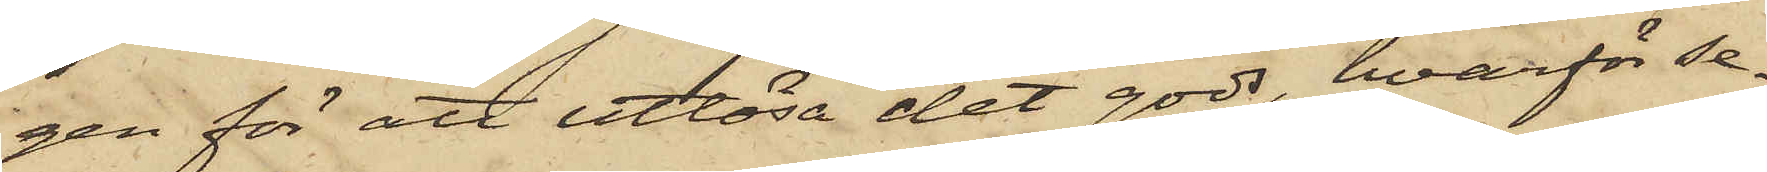gen för att utlösa det gods, hvarför se¬
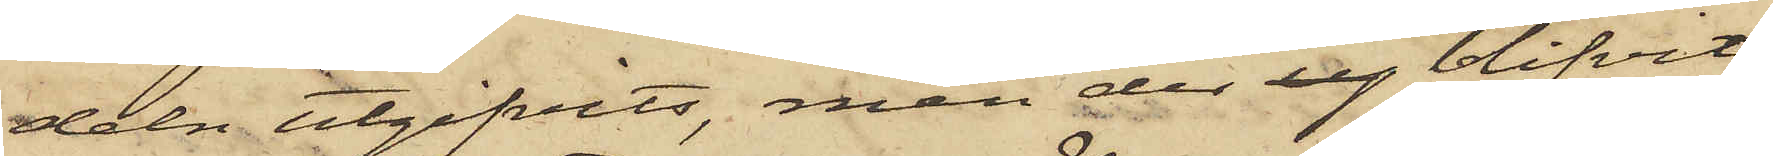deln utgifvits, men der up blifvit
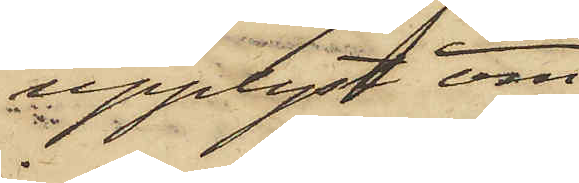upplyst om
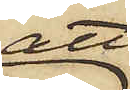att
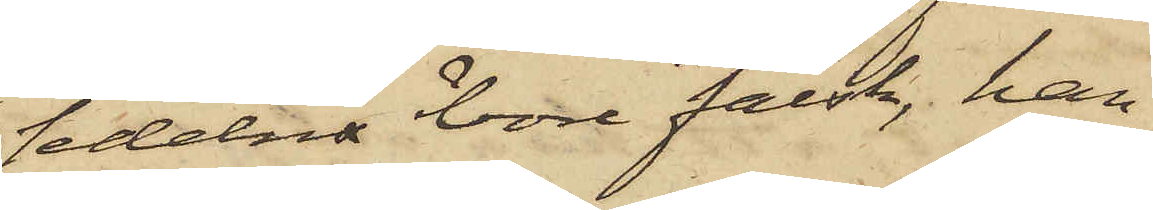sedeln vore falsk, han
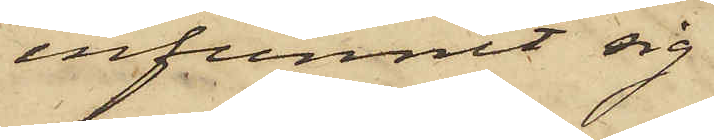infunnit sig
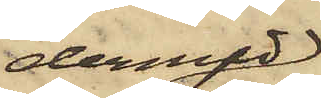dermed
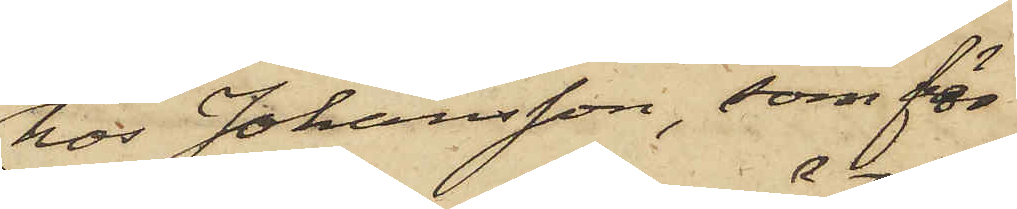hos Johansson, som för
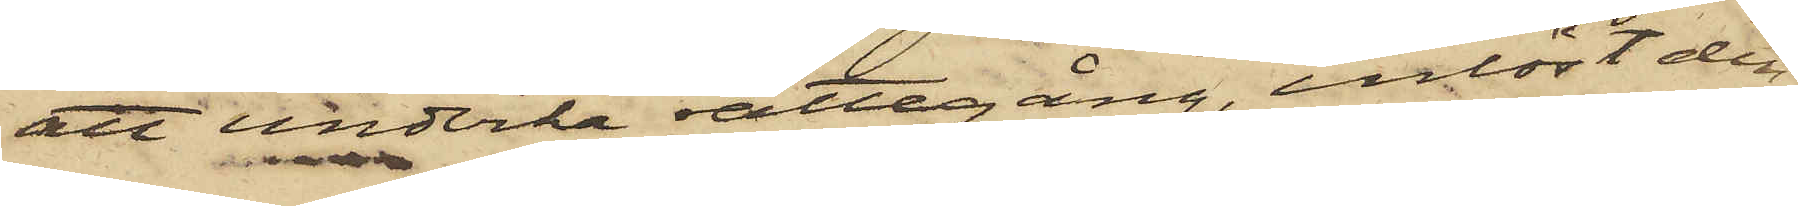att undvika rättegång, inlöst den¬
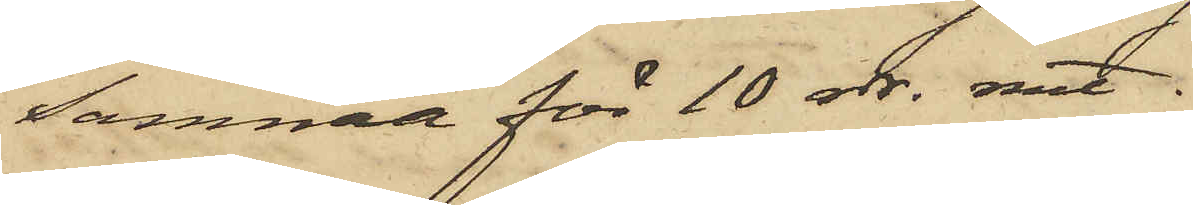Samma för 10 rdr rmt. 
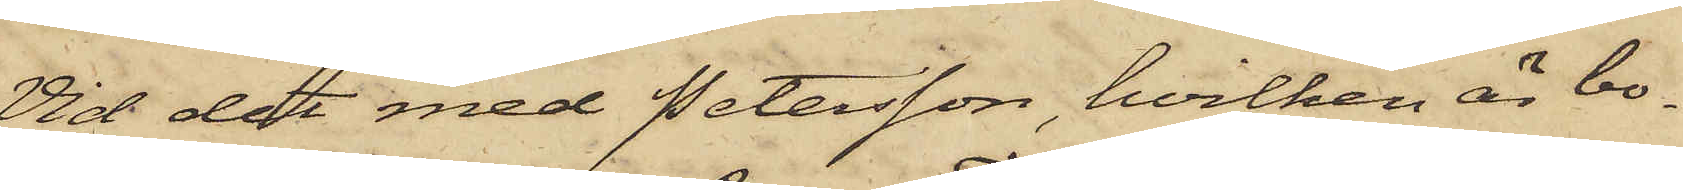Vid det med Petersson, hvilken är bo¬
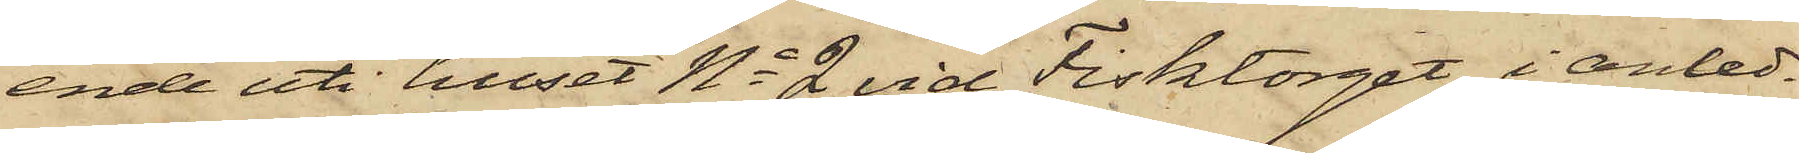ende uti huset No 2 vid Fisktorget i anled¬
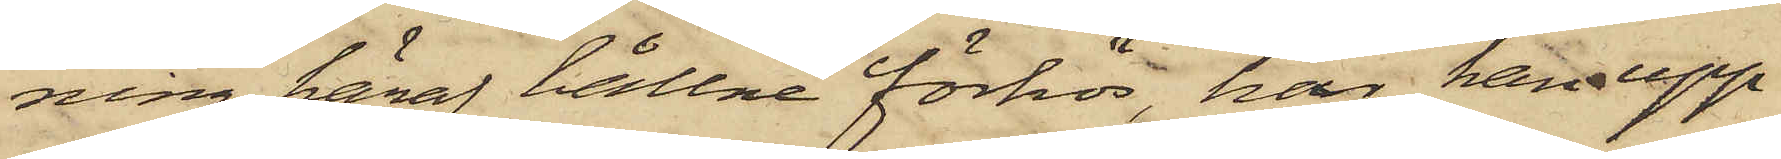ning häraf hållne förhör, har han upp¬
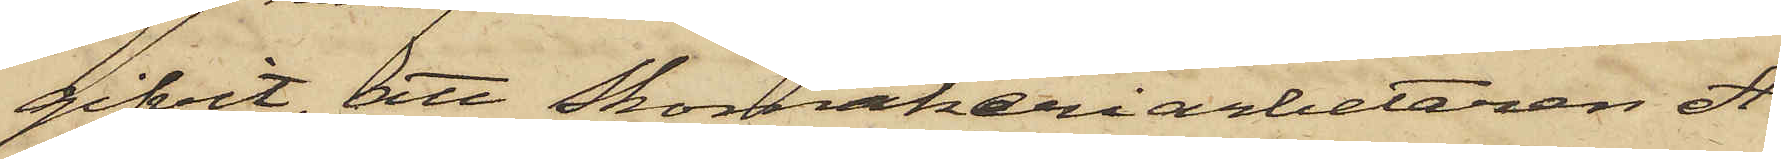gifvit, att Skomakeriarbetaren A.
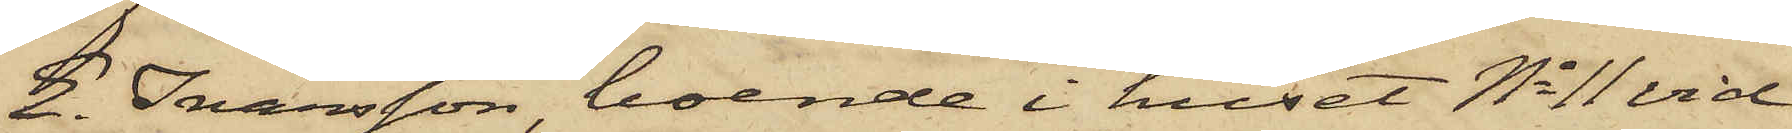E. Ivarsson, boende i huset No 11 vid
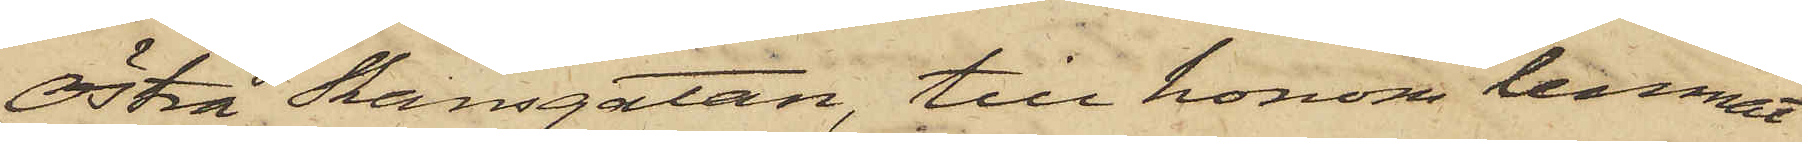Östra Skansgatan, till honom lemnat
